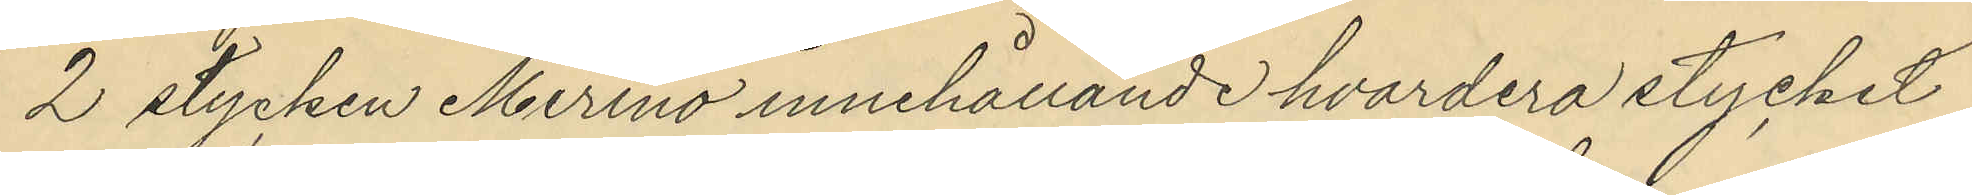2 stycken Merino innehållande hvardera stycket
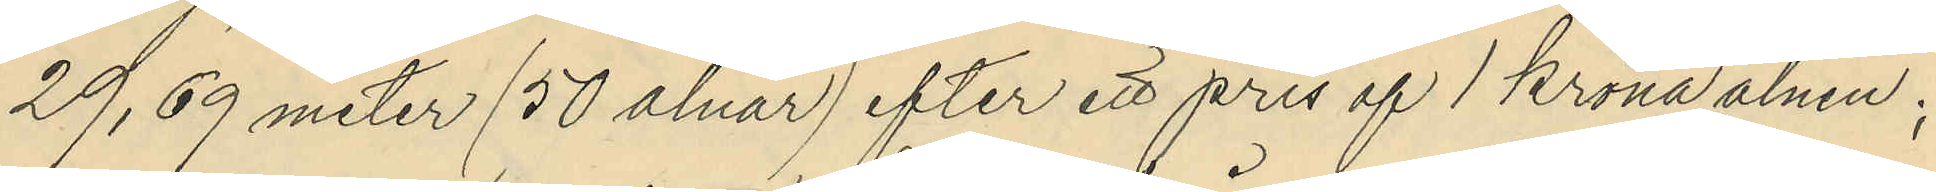29,69 meter (50 alnar) efter ett pris af 1 krona alnen;
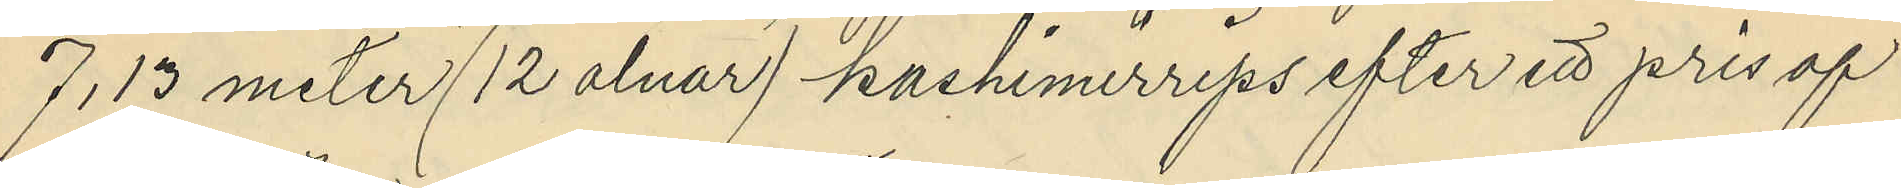7,13 meter (12 alnar) kashimerrips efter ett pris af
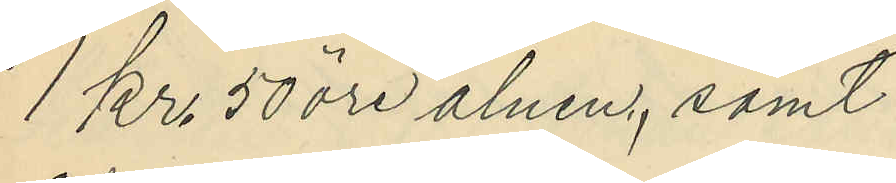1 Kr 50 öre alnen, samt
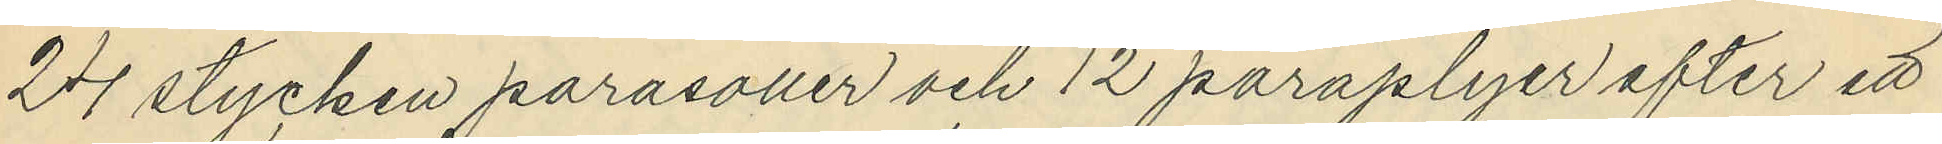24 stycken parasoller och 12 paraplyer efter ett
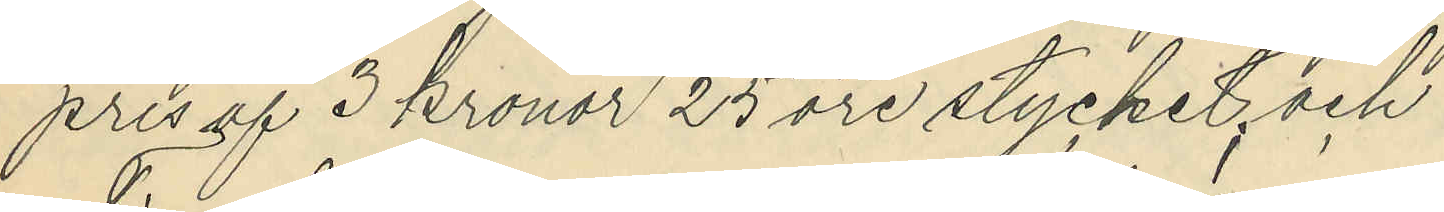pris af 3 kronor 25 öre stycket, och
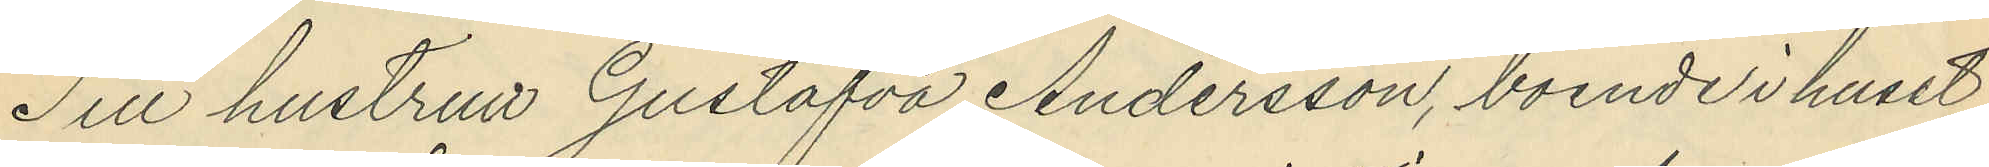Till hustrun Gustafva Andersson, boende i huset
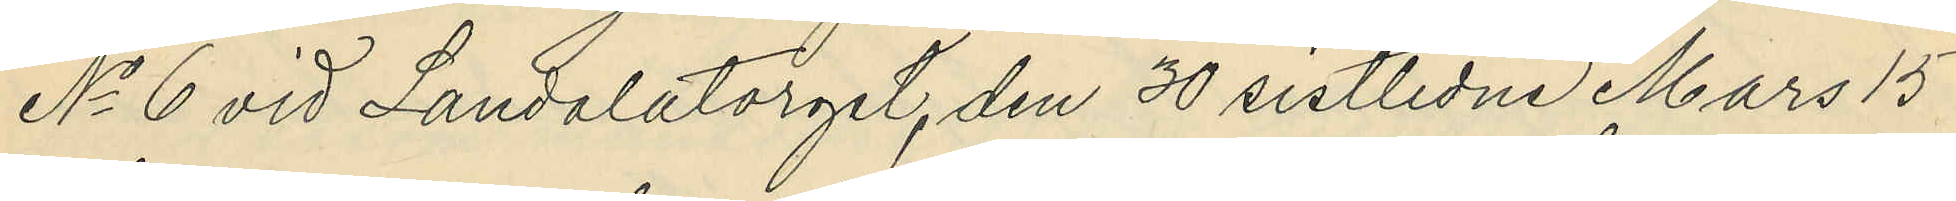No 6 vid Landalatorget, den 30 sistlidne Mars 15
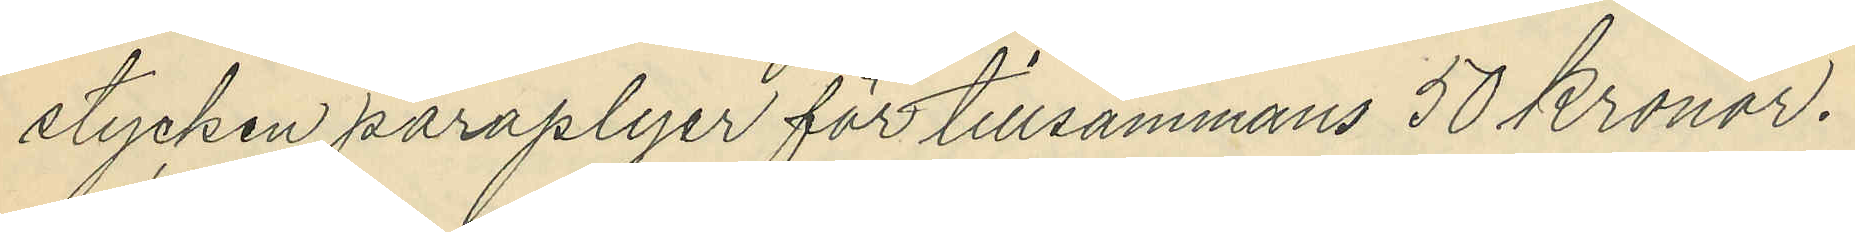stycken paraplyer för tillsammans 50 Kronor.
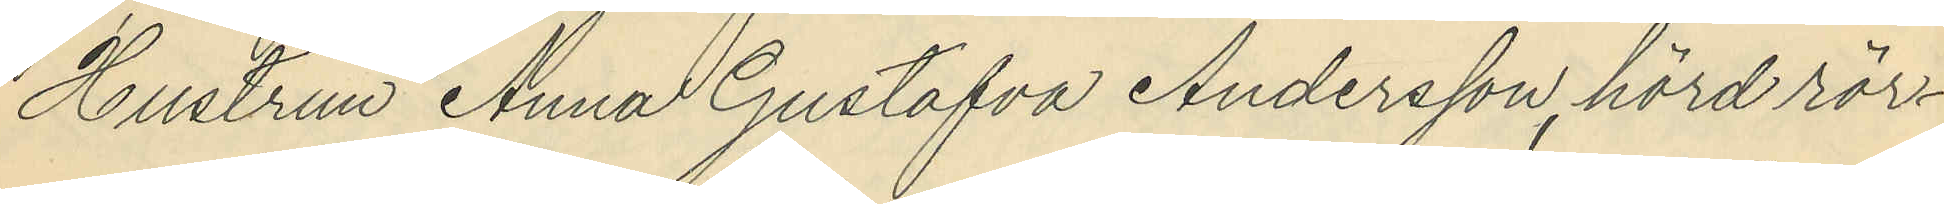Hustrun Anna Gustafva Andersson, hörd rör¬
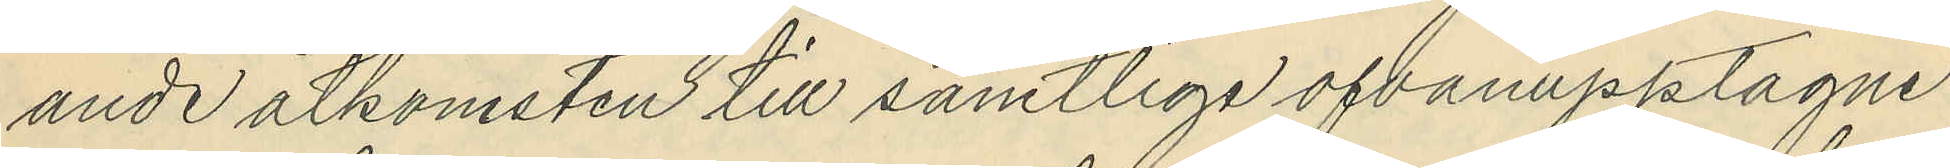ande åtkomsten till samtliga ofvanupptagne
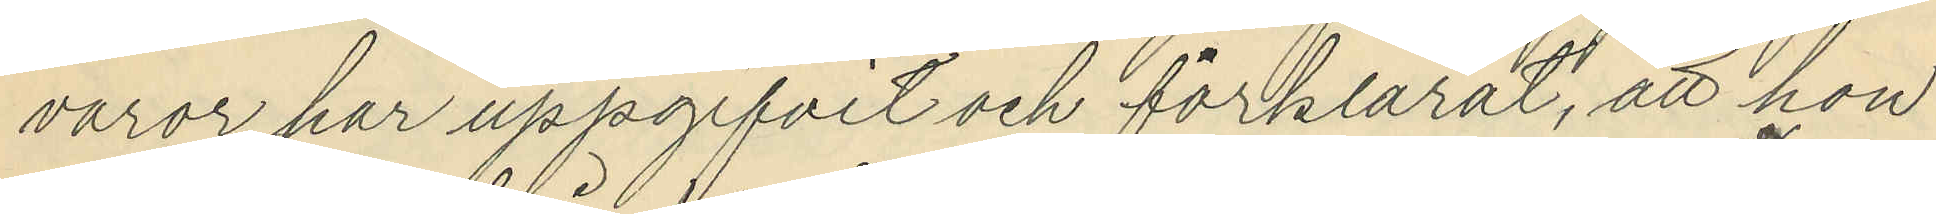varor, har uppgifvit och förklarat, att hon
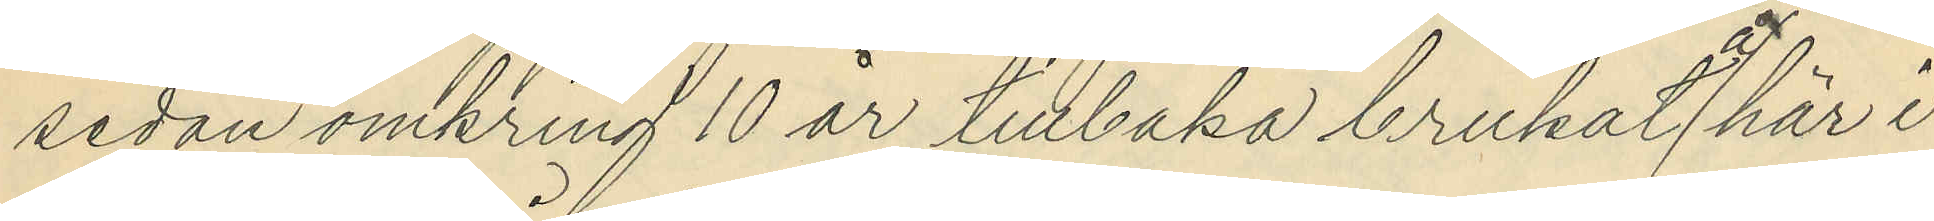sedan omkring 10 år tillbaka brukat å här i
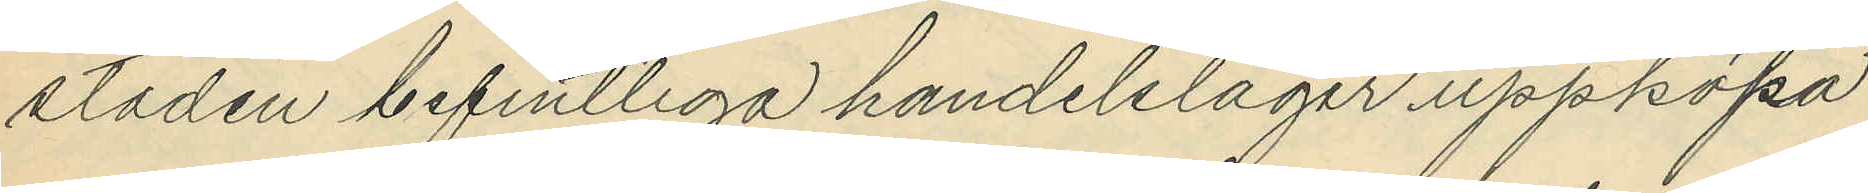staden befintliga handelslager uppköpa
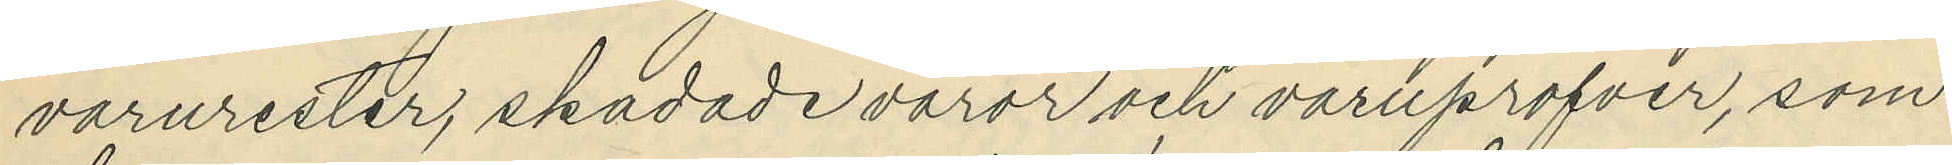varurester, skadade varor och varuprofver, som
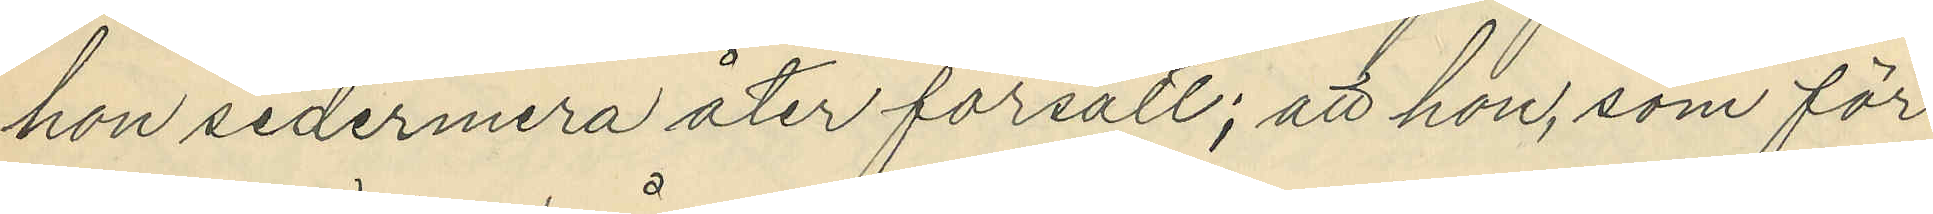hon sedermera åter försålt; att hon, som för
